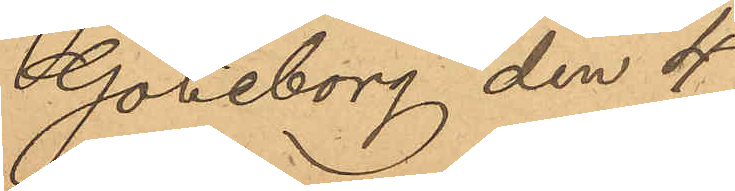Göneborg den 4
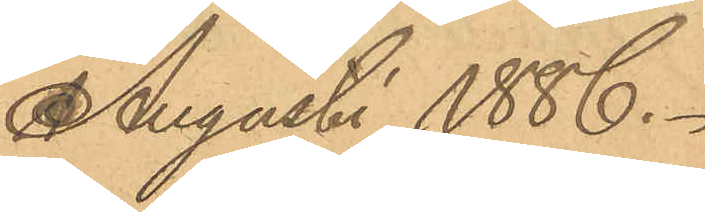Augusti 1886.
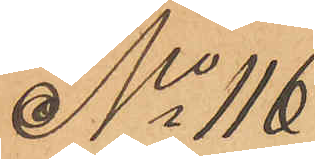No 116
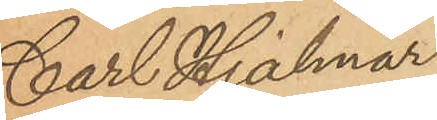Carl Hjalmar
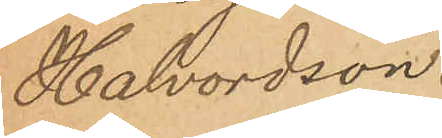Halvordson.
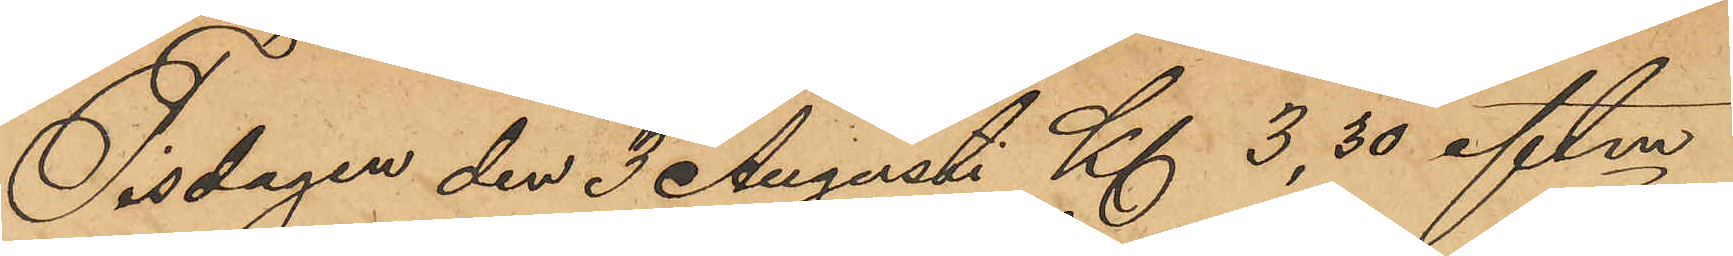Tisdagen den 3 Augusti Kl 3,30 eftm
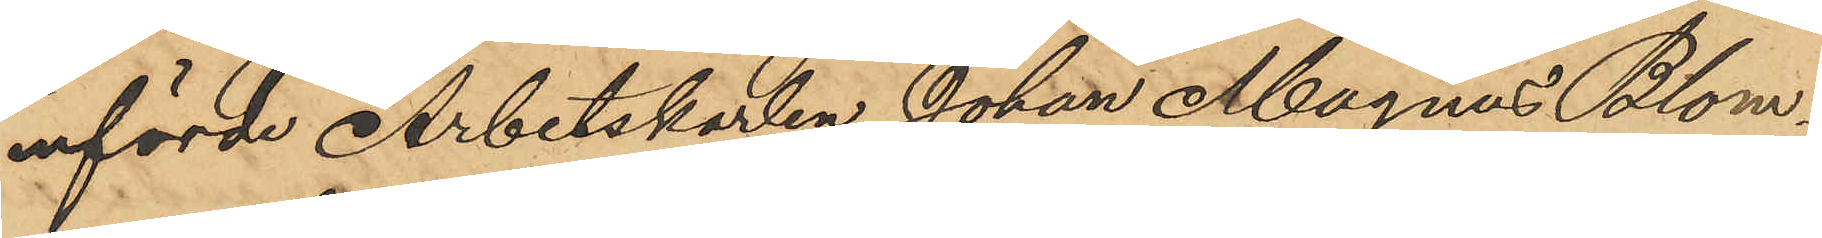införde Arbetskarlen Johan Magnus Blom¬
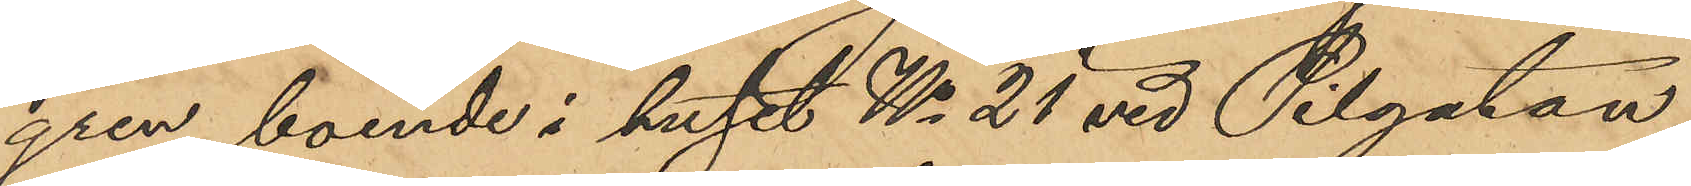gren, boende i huset No 25 vid Pilgatan,
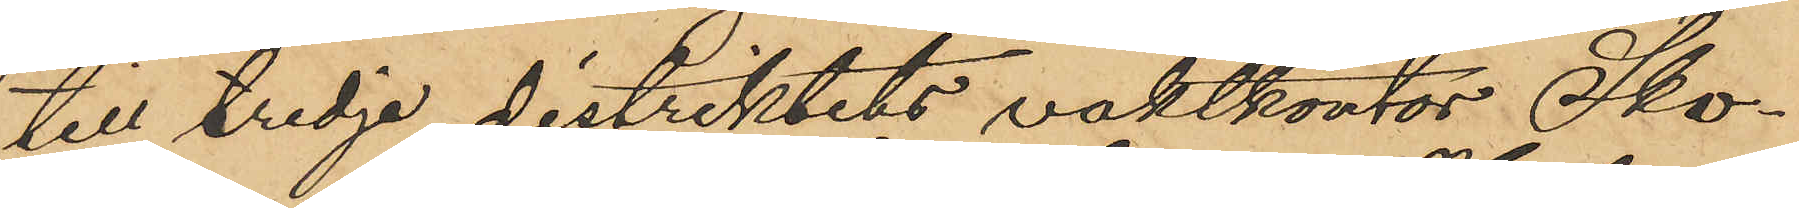till tredje distriktets vaktkontor Sko¬
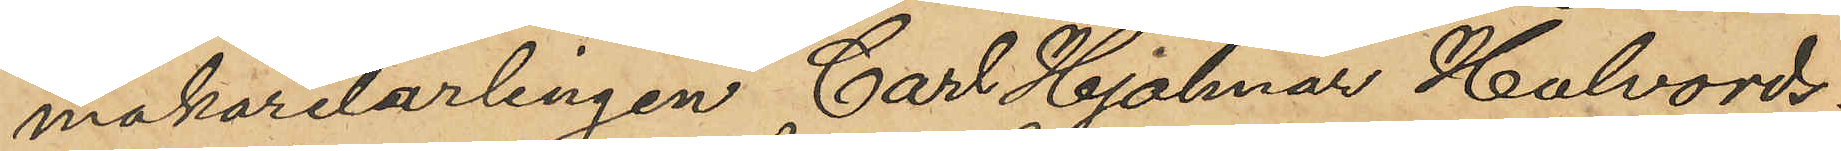makarelärlingen Carl Hjalmar Halvords¬
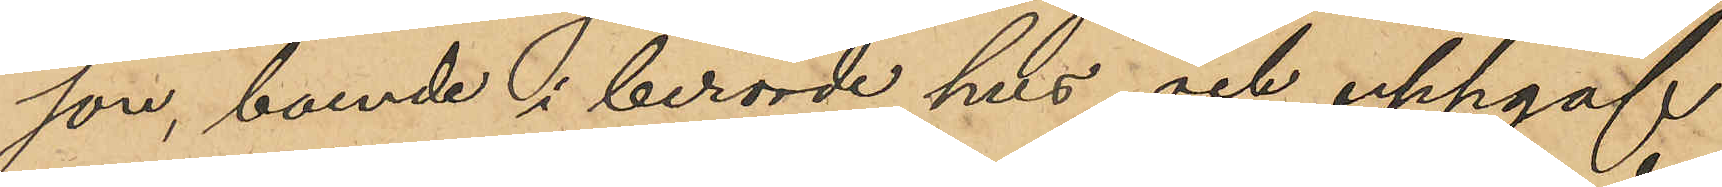son, boende i berörde hus och uppgaf
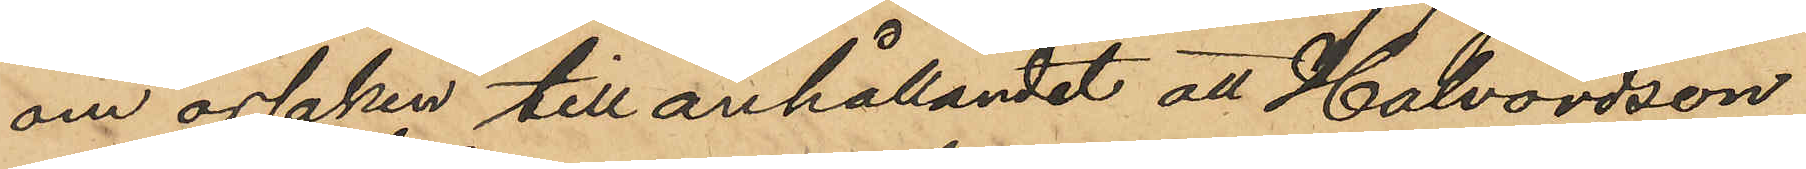om orsaken till anhållandet att Halvordson
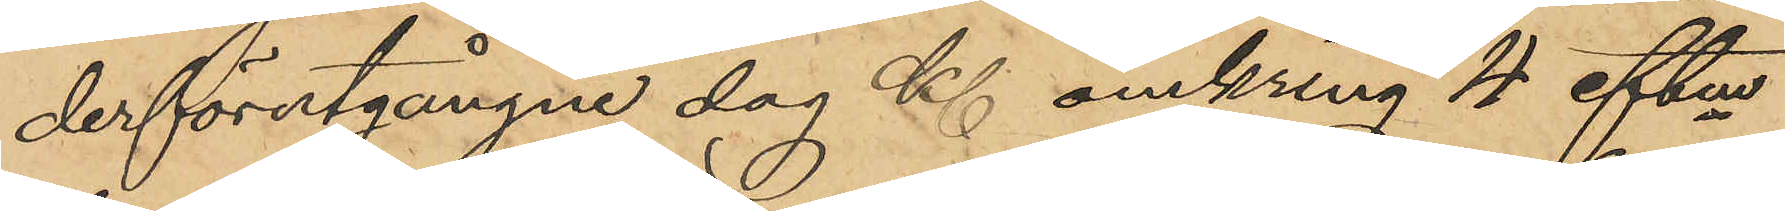derförutgångne dag Kl omkring 4 eftm
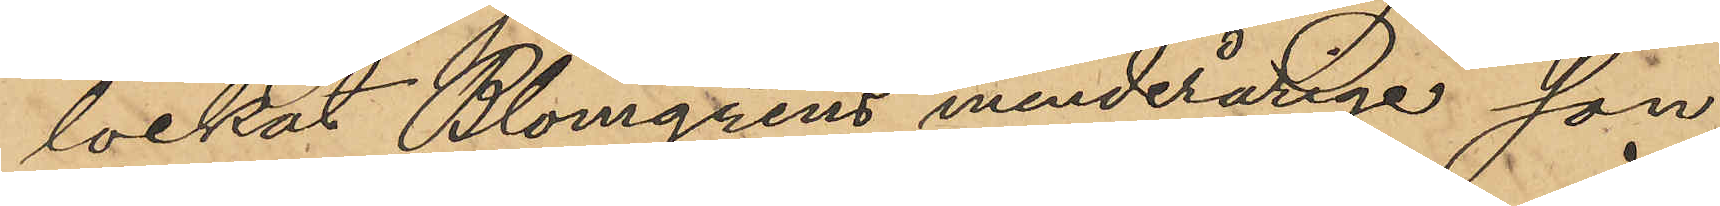lockat Blomgrens minderårige son
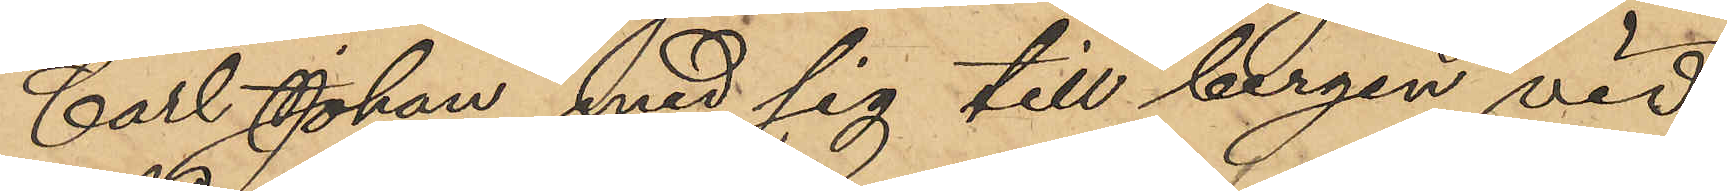Carl Johan med sig till bergen vid
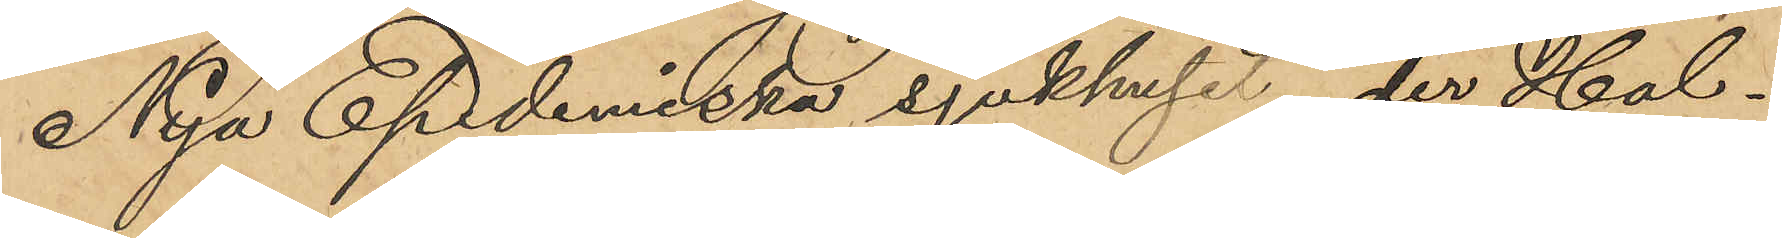Nya Epidemiska sjukhuset, der Hal¬
